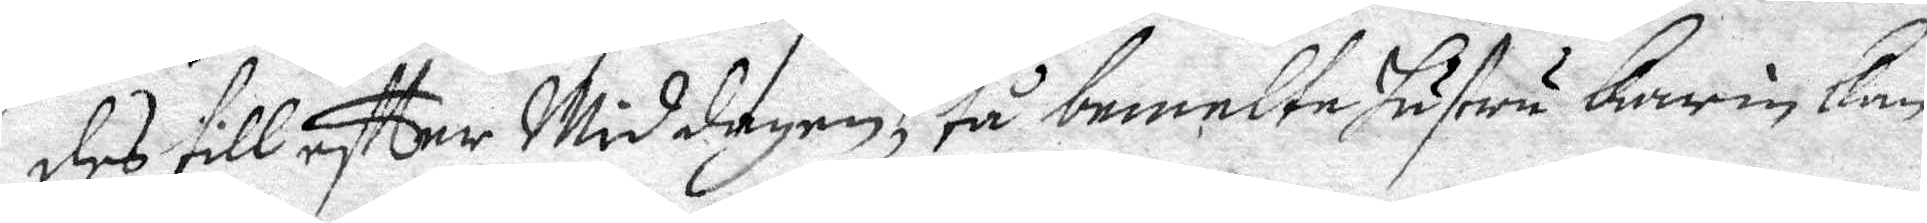des till eftter Middagen, tå bemelte hustru Karin kan
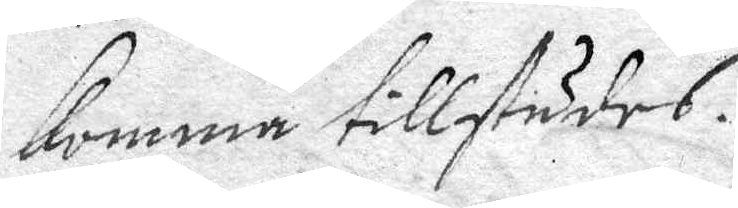komma tillstädes.
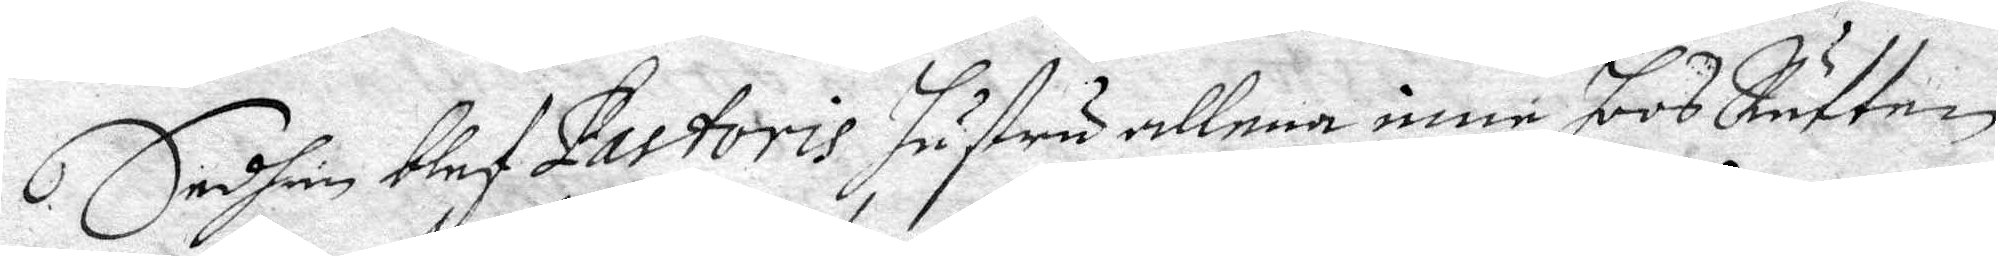Sedhen blef Pestoris hustru allena inne hoos Rätten
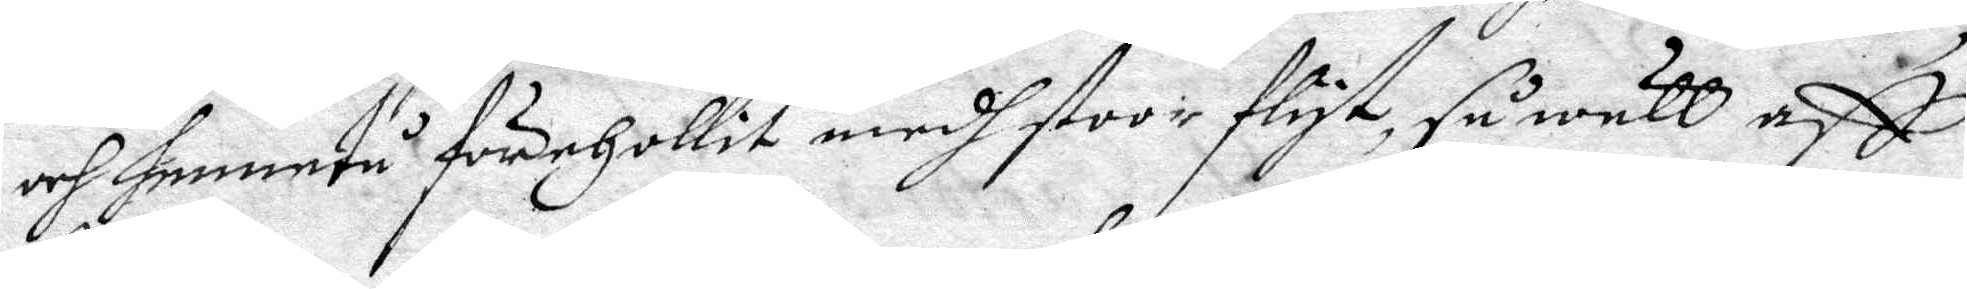och henne tå förehollit medh stoor flyst, så wäll aff
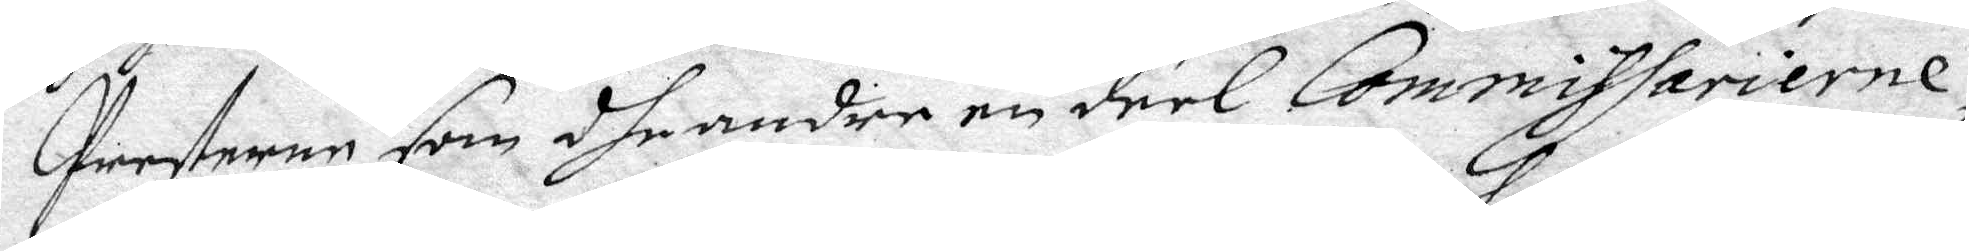Parterne som dhe andre en deel Commissarierne,
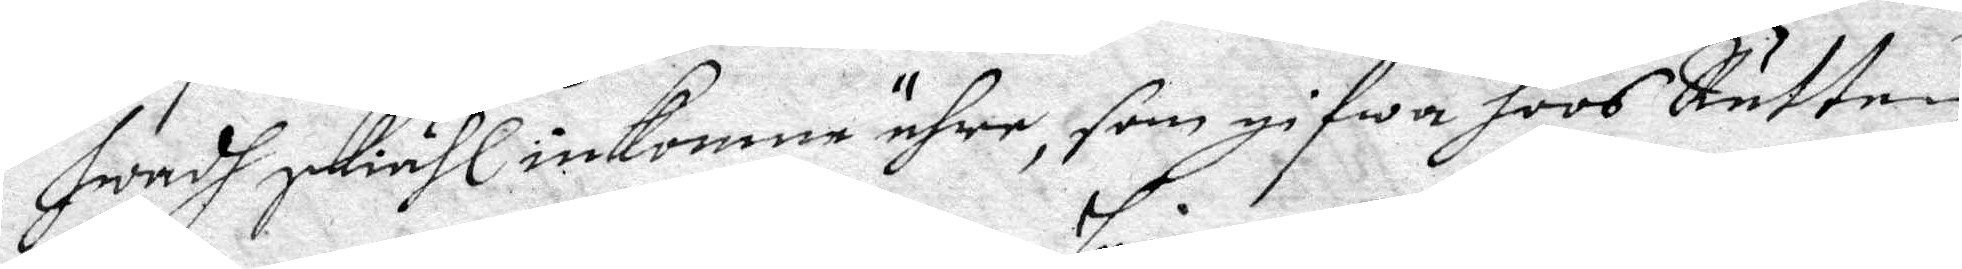hwadh skiähl inkomne ähre, som gifwa hoos Rätten
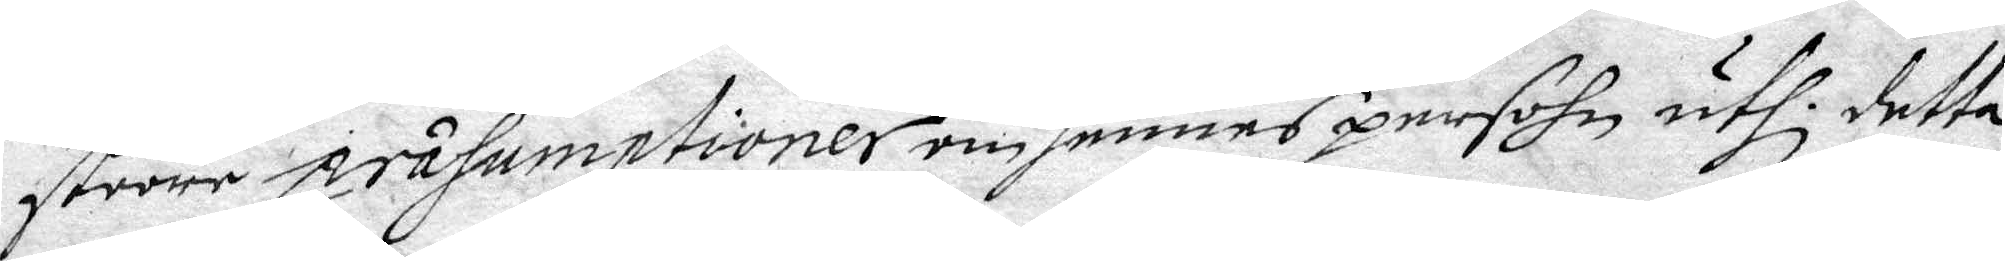stoore prasumptioner om hennes persohn uthi detta
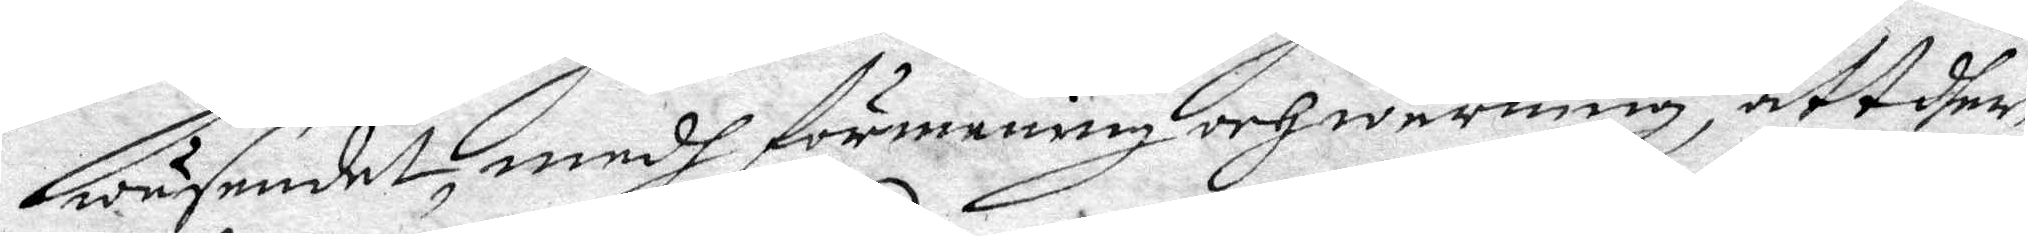wäsendet, medh förmening och Warning, att dher
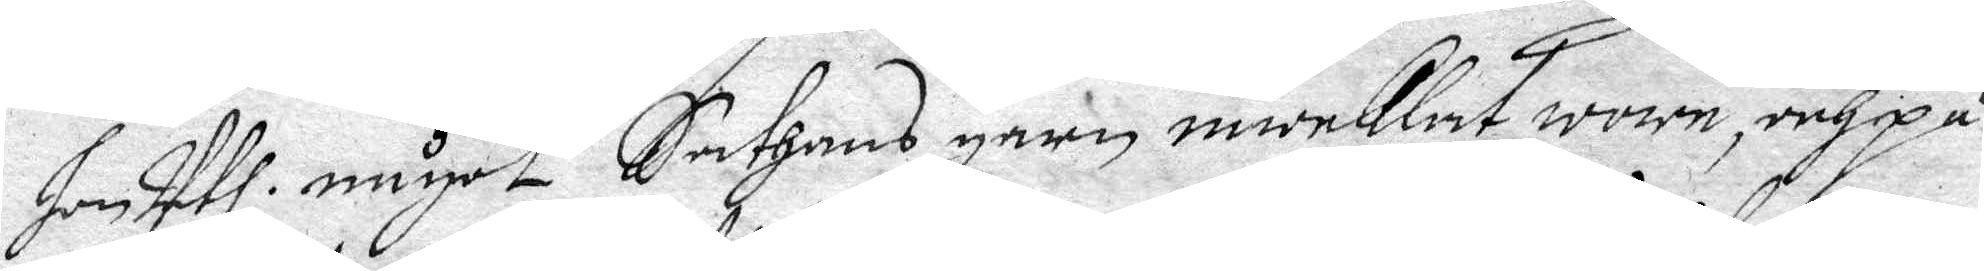hon Uthi något Sathans garn inweklat wore, och på
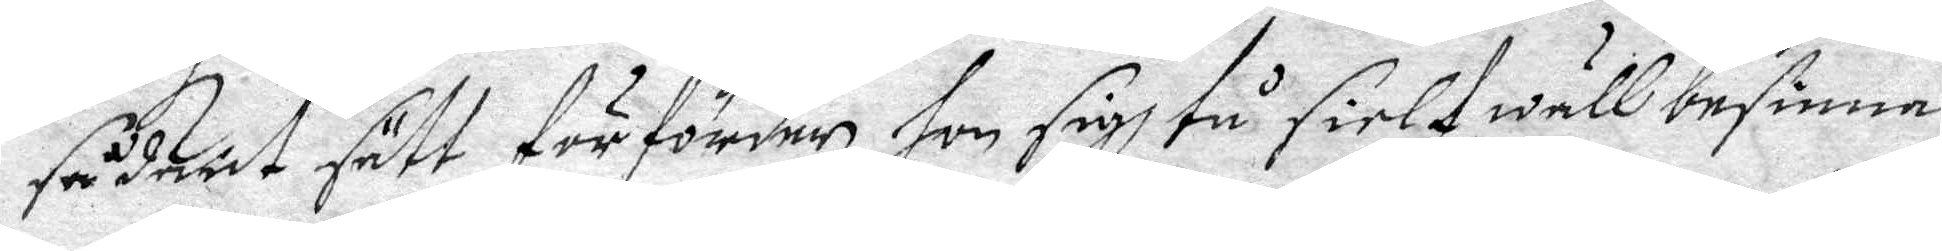sådant sätt förförder, hon sigh tå sielf wäll besinna 
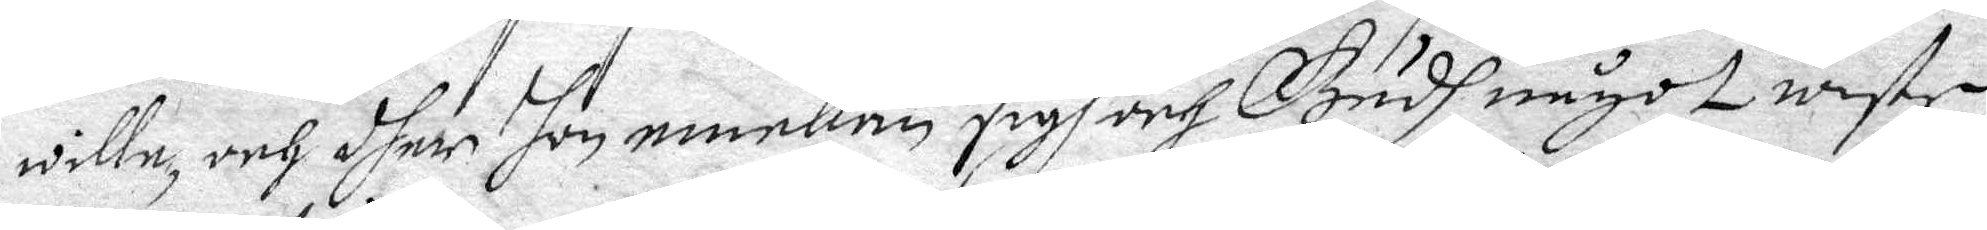wille, och dher hon emellan sigh och Gudh något wiste
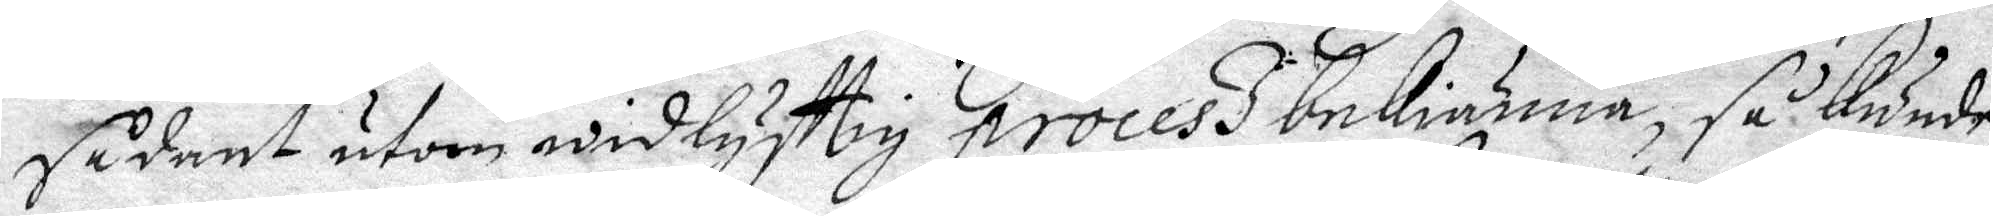sådant utom widlyfttig Process bekiänna, så Kunde
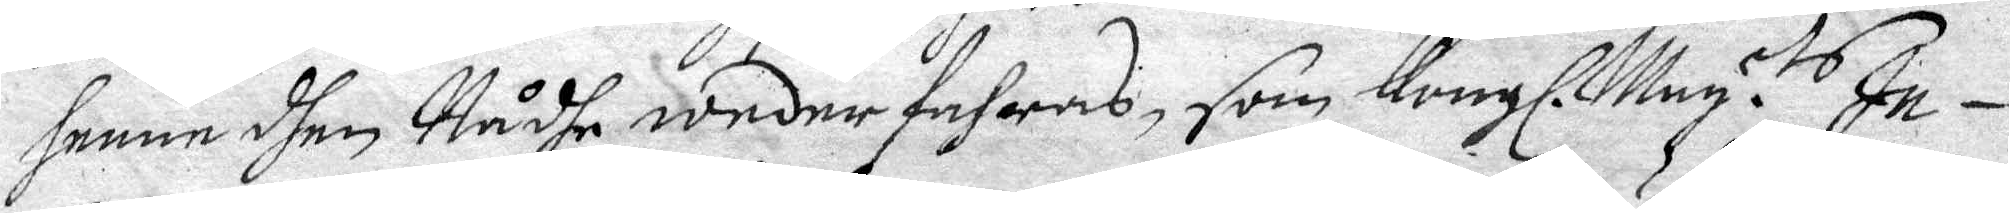henne dhen Nådhe weder fahras, som Kongl. May.tz In¬
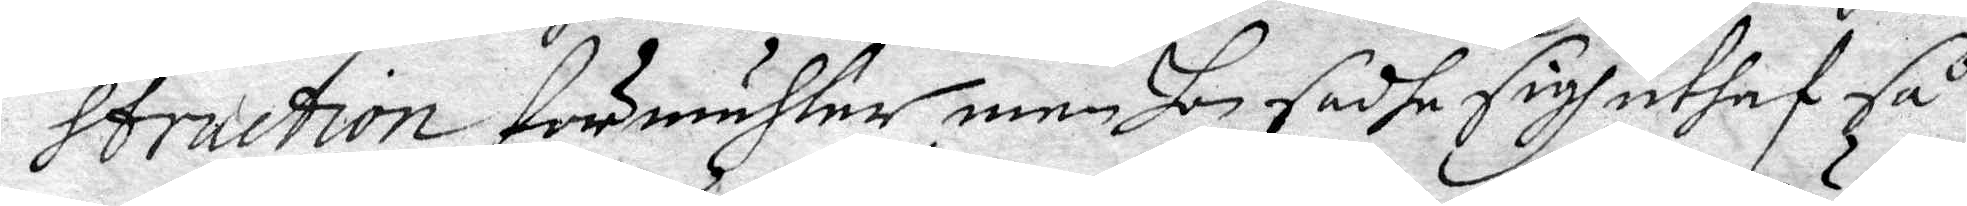struction förmähler, men hon sadhe sigh uthaf så¬
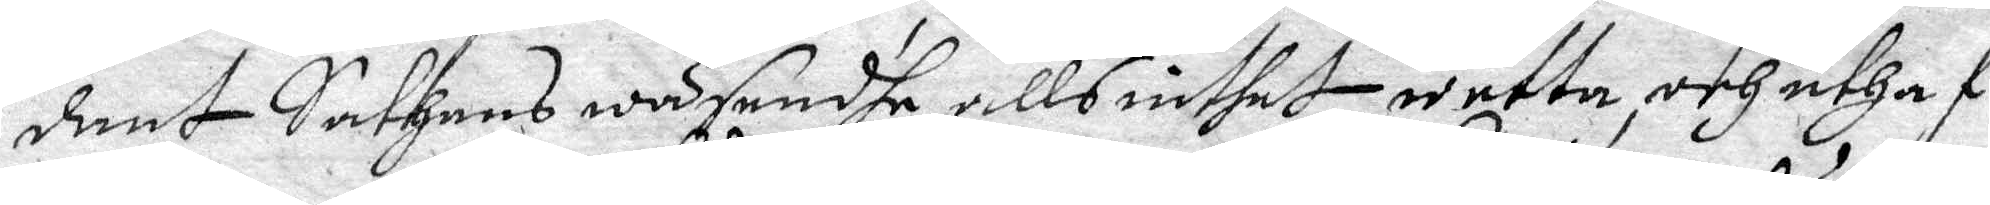dant Sathans wäsendhe alls inthet weeta, och uthaf
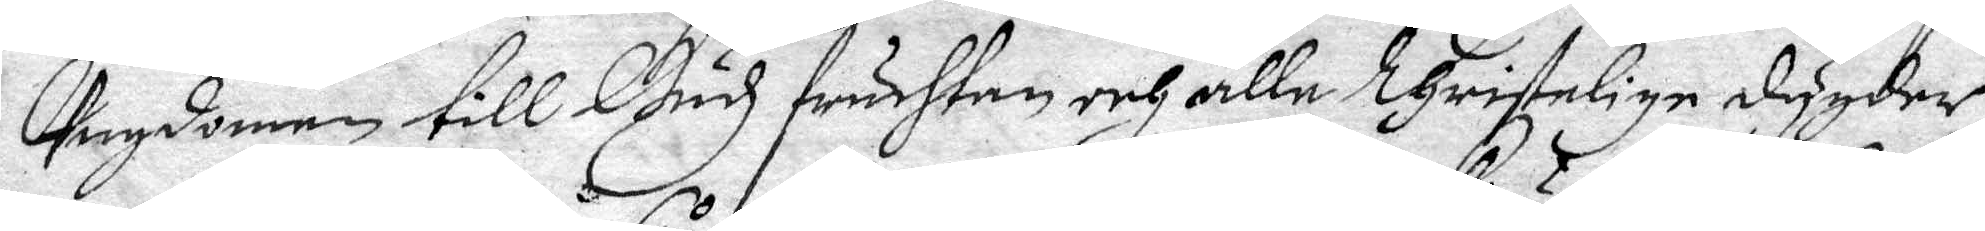Ungdomen till Gudz fruchtan och alle Christelige dygder
